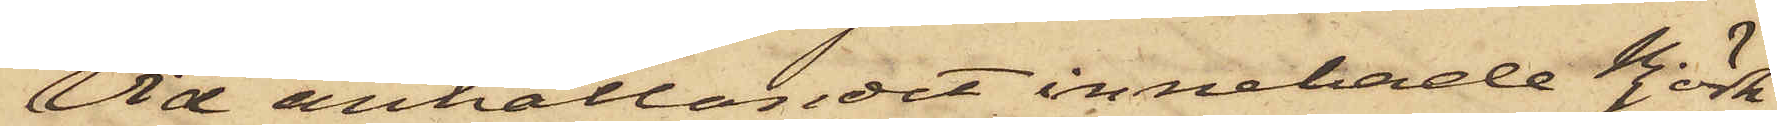Vid anhållandet innehade Björk¬
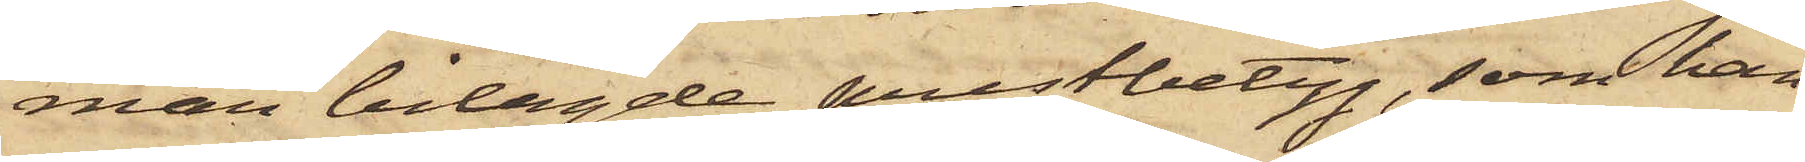man bilagde prestbetyg, som han
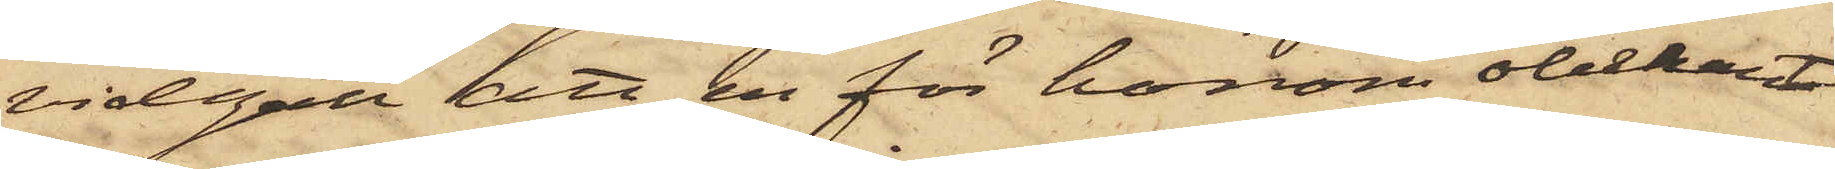vidgått att en för honom obekant
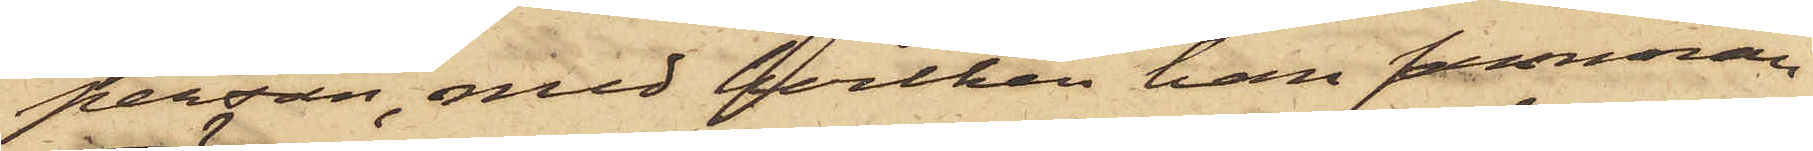person, med hvilken han samman¬
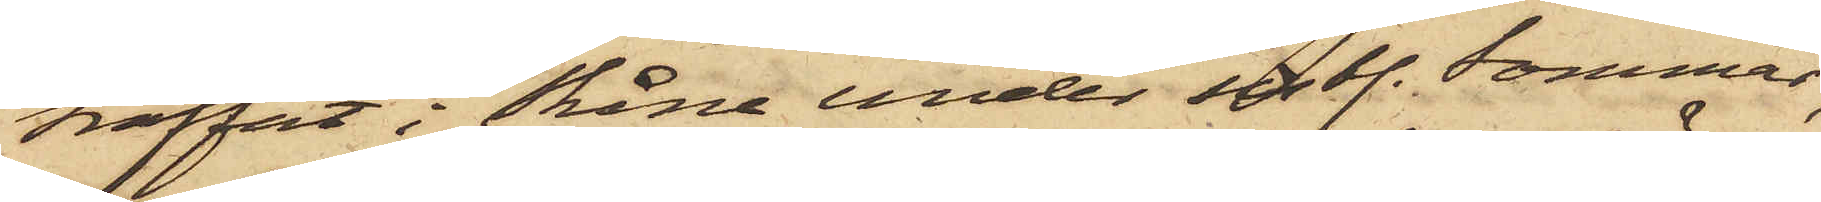träffat i Skåne under sistl. Sommar,
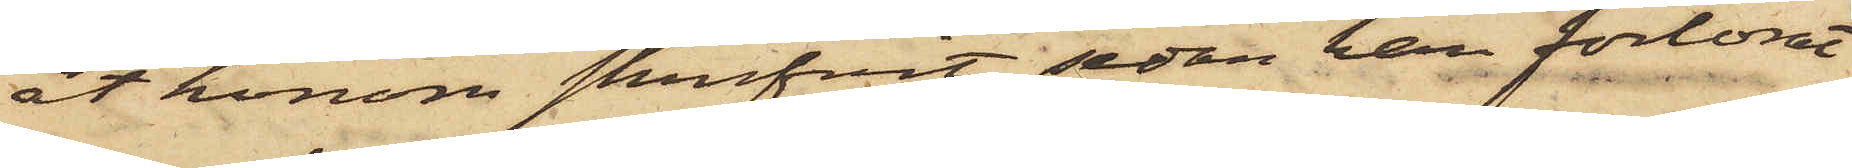åt honom skrifvit, sedan han förlorat
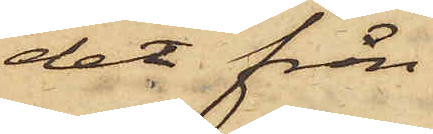det från
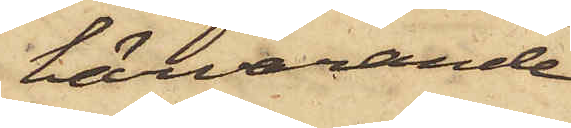härvarande
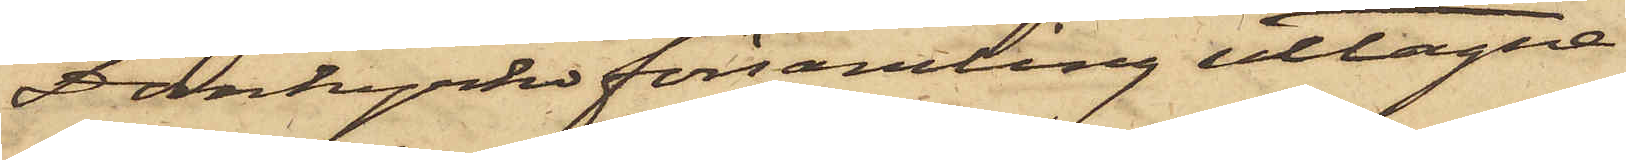Domkyrko församling uttagne.
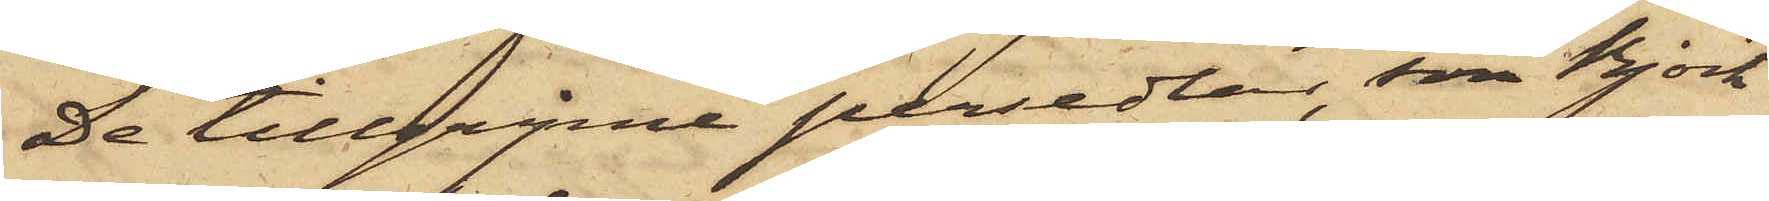De tillgripne persedlar, som Björk¬
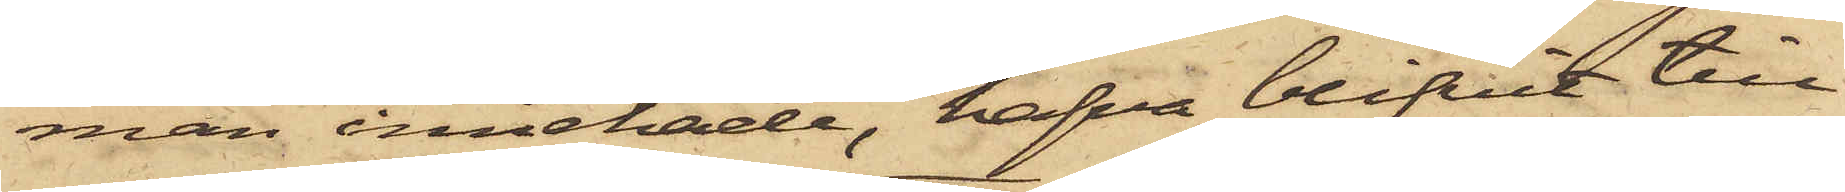man innehade, hafva blifvit till
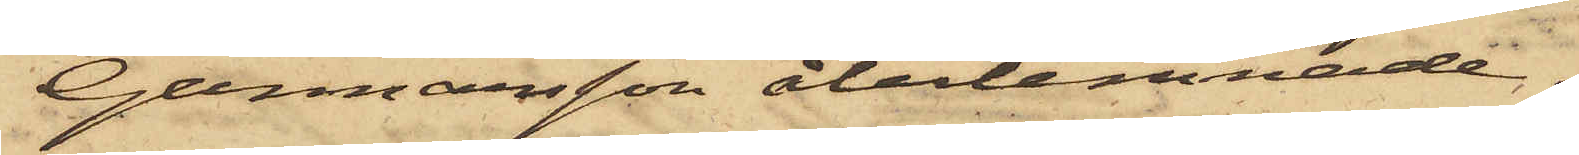Gunnarsson återlemnade.
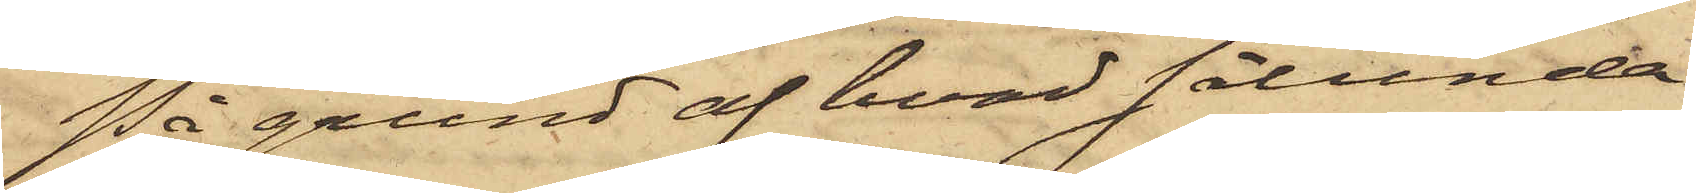På grund af hvad sålunda
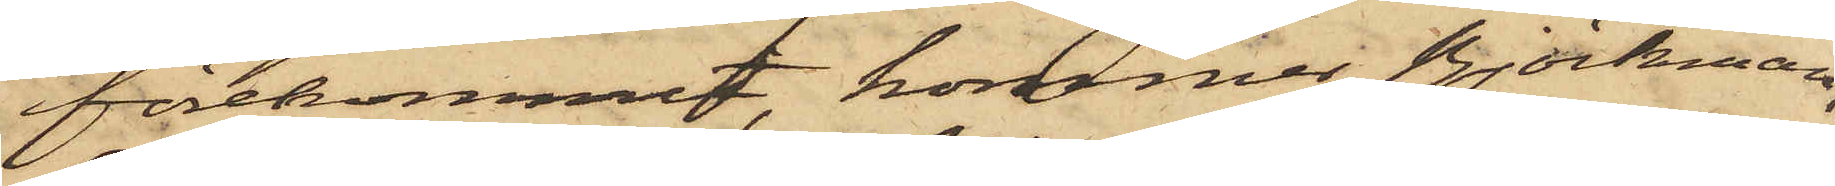förekommit, kommer Björkman,
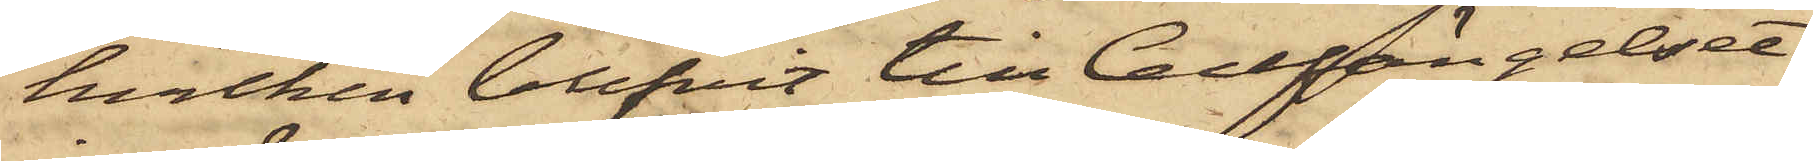hvilken blifvit till Cellfängelset
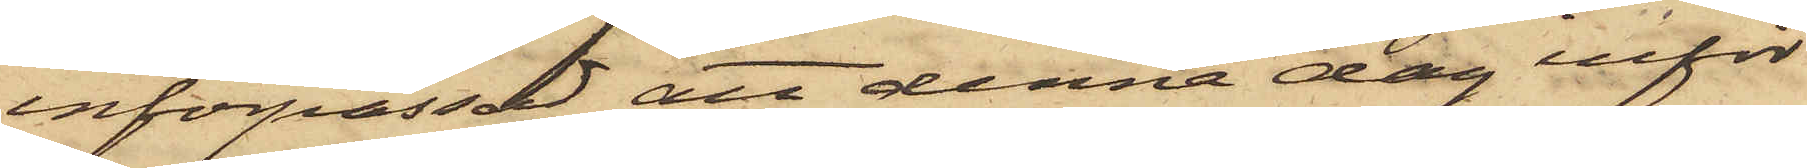införpassad, att denna dag inför
